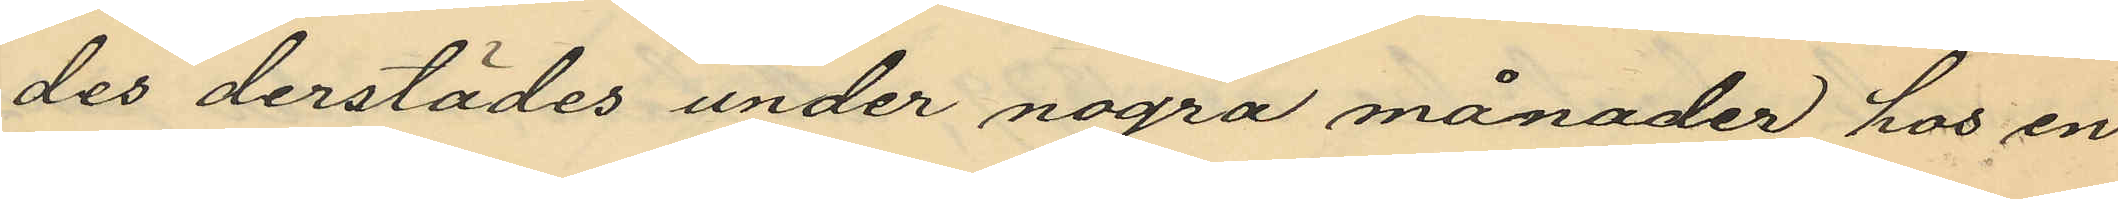des derstädes under nogra månader hos en
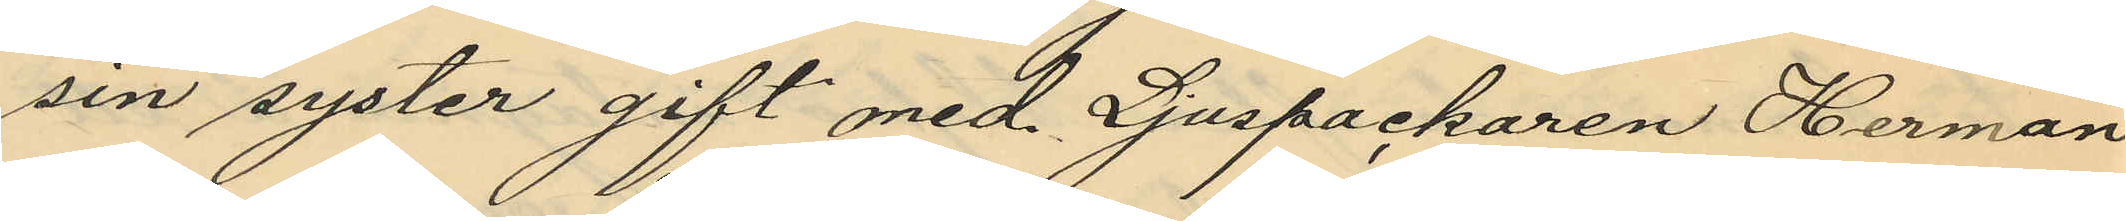sin syster gift med Ljuspackaren Herman
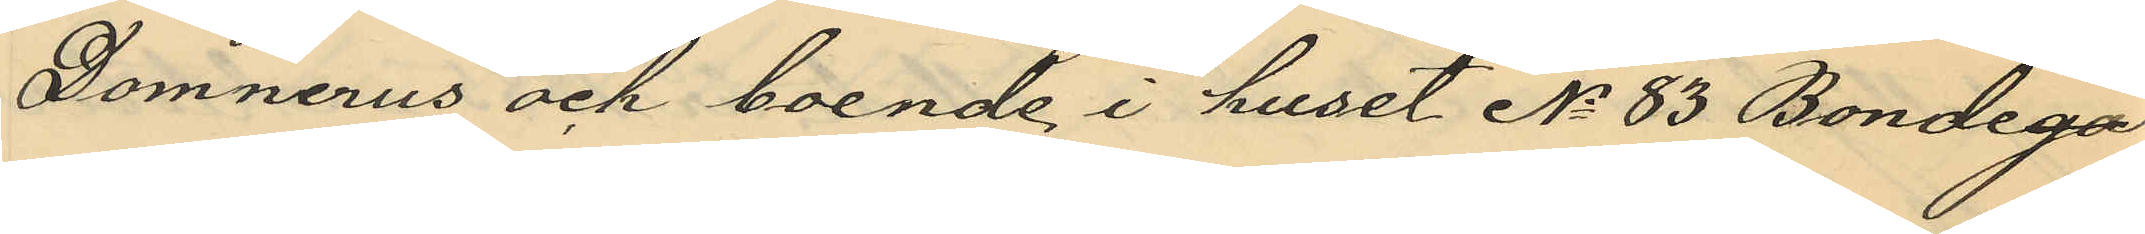Domnerus och boende i huset No 83 Bondega¬
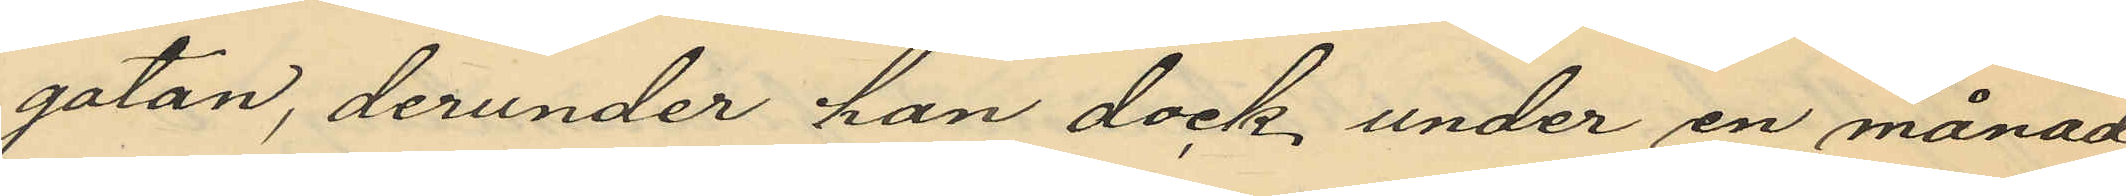gatan, derunder han dock, under en månad
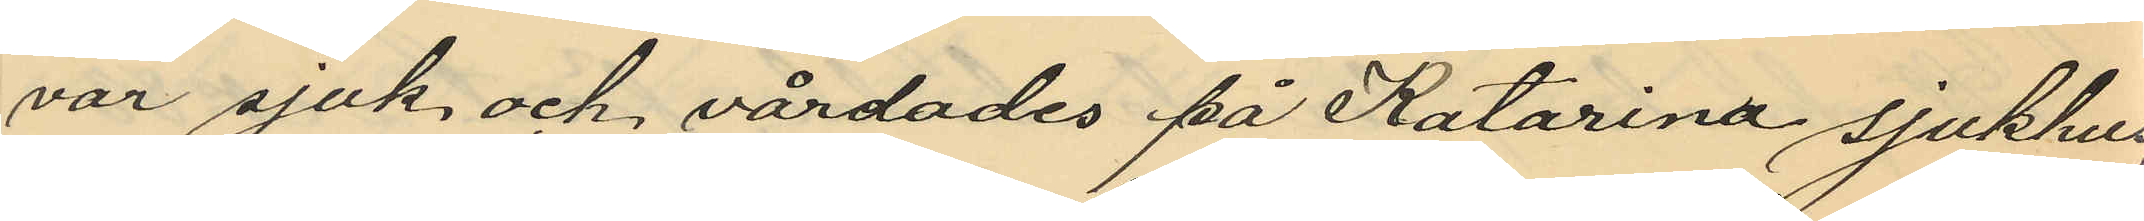var sjuk och vårdades på Katarina sjukhus;
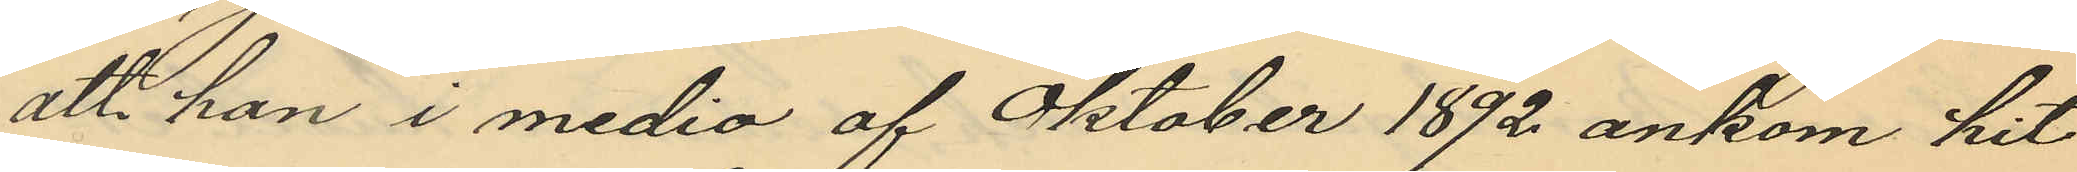att han i medio af Oktober 1892 ankom hit
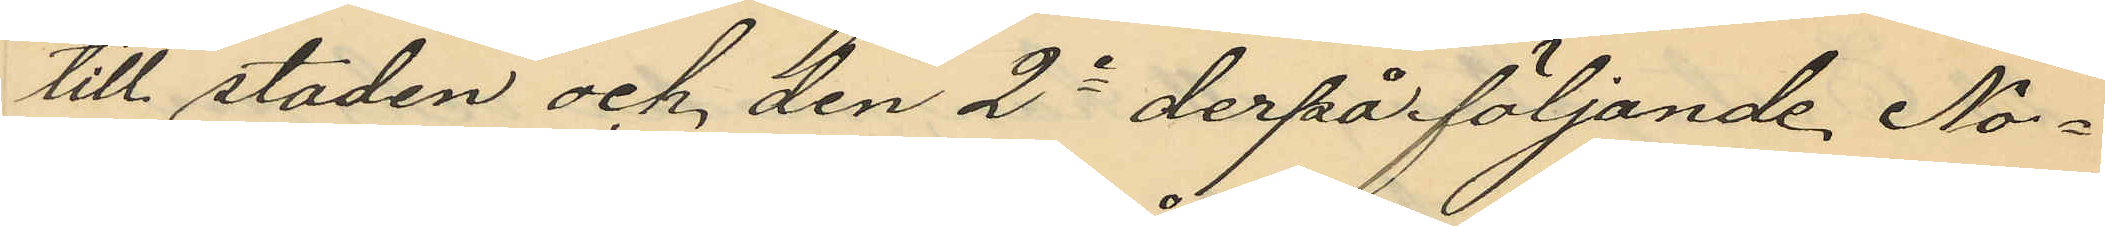till staden och den 2a derpåföljande No¬
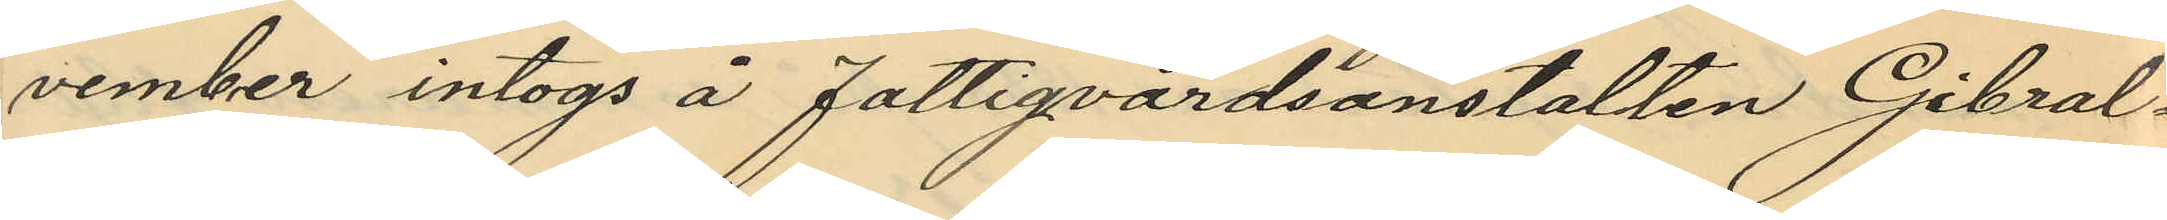vember intogs å fattigvårdsanstalten Gibral¬
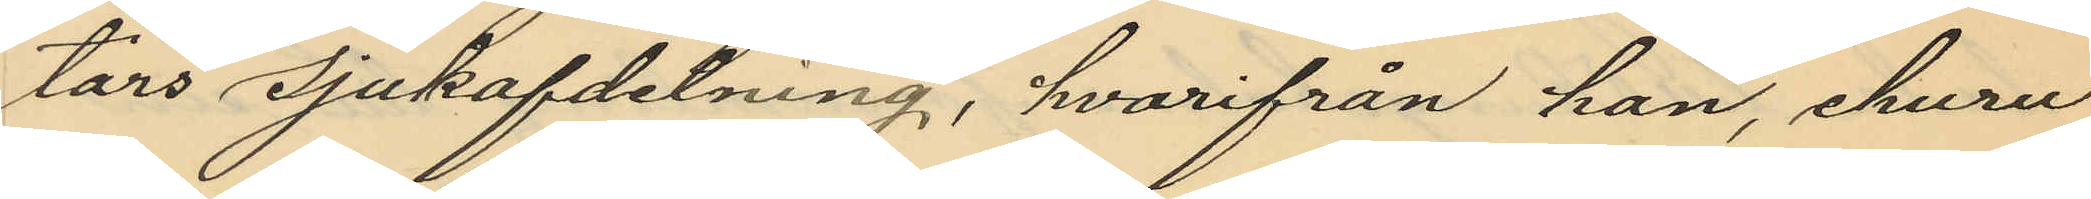tars sjukafdelning, hvarifrån han, ehuru
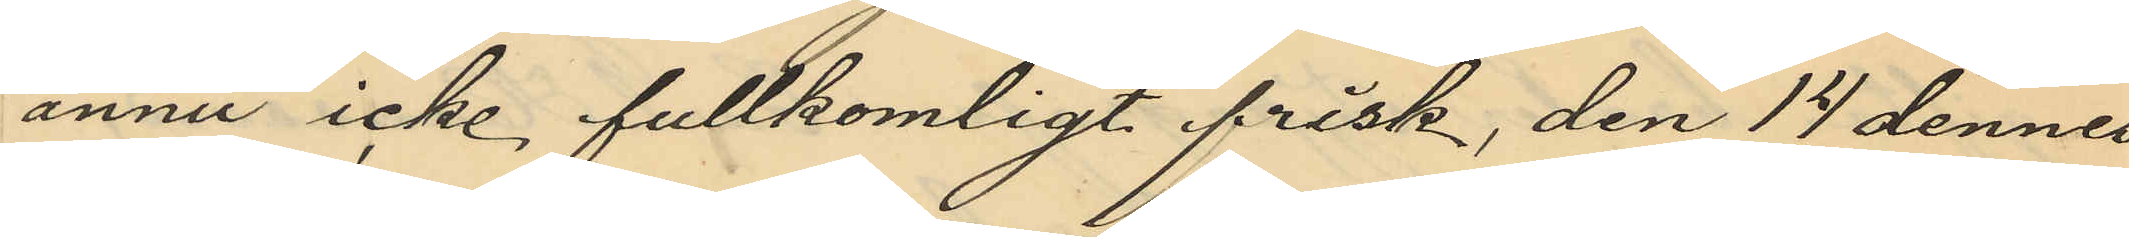ännu icke fullkomligt frisk, den 14 dennes
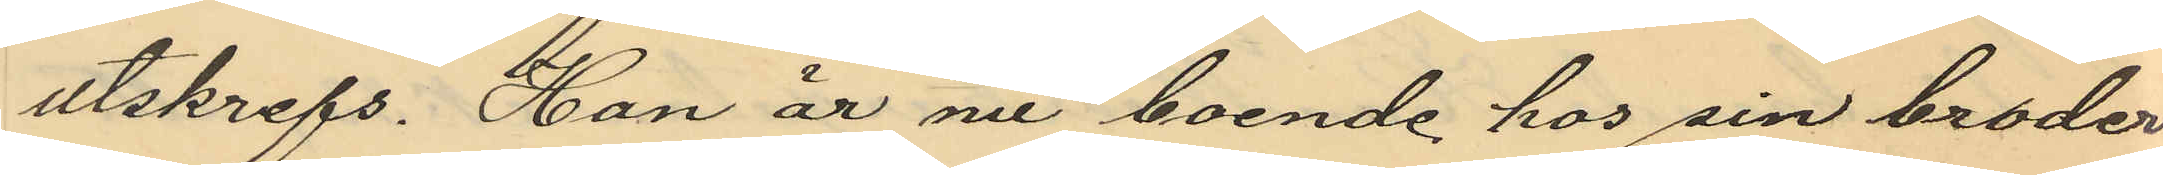utskrefs. Han är nu boende hos sin broder
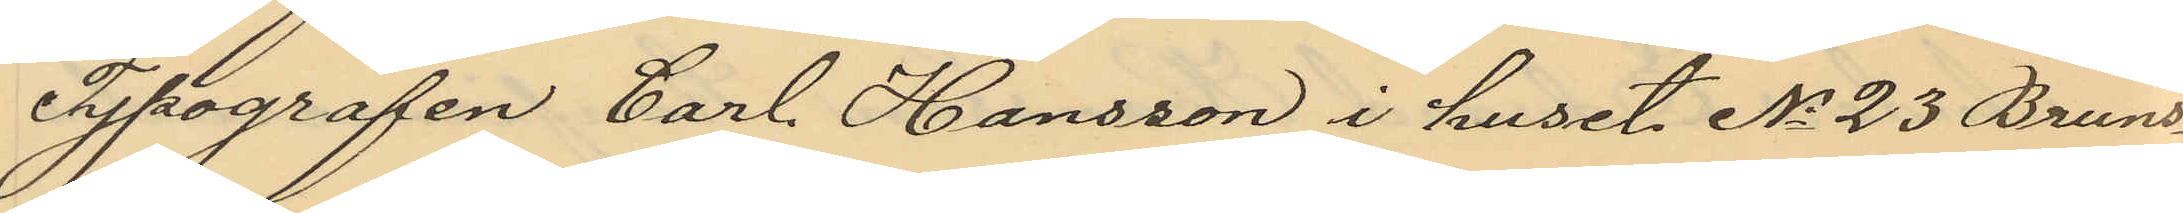Typografen Carl Hansson i huset No 23 Bruns¬
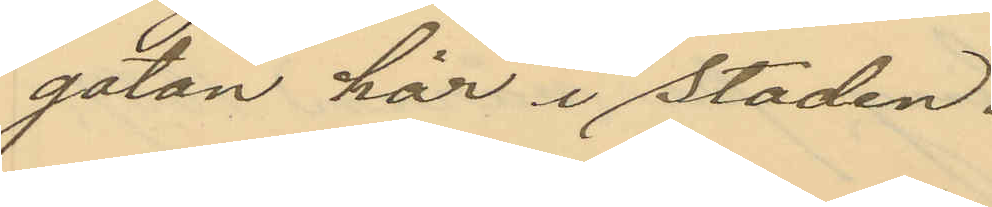gatan här i staden.
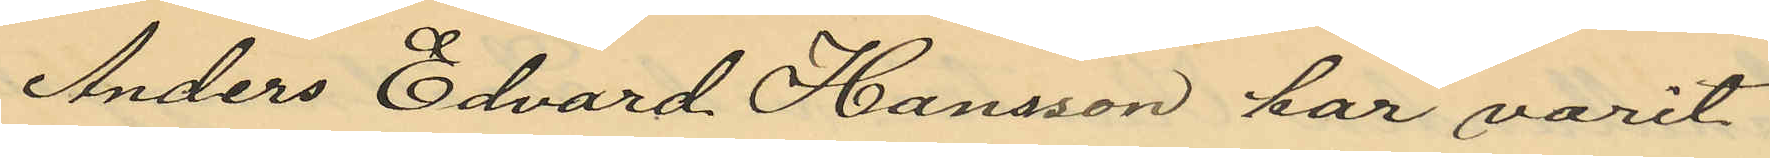Anders Edvard Hansson har varit
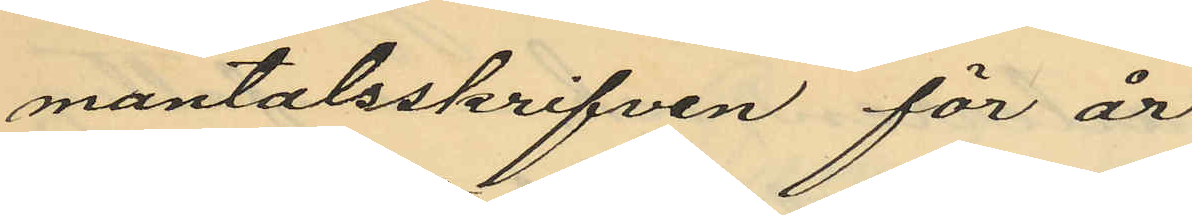mantalsskrifven för år
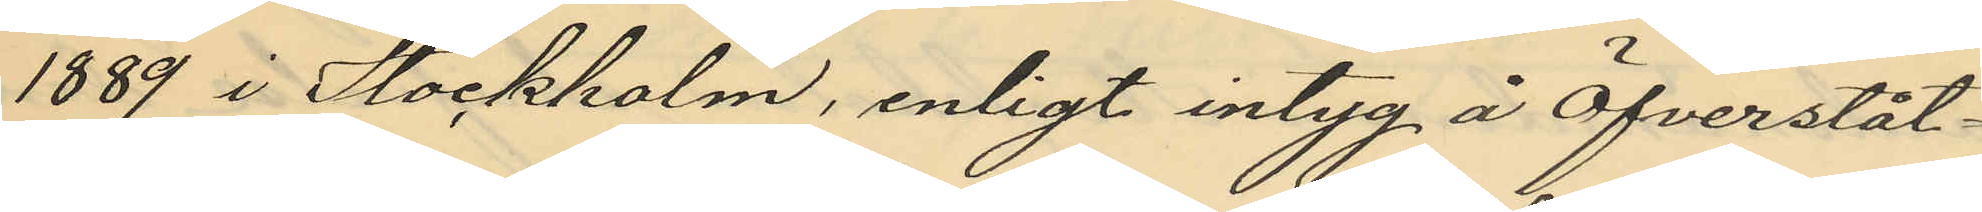1889 i Stockholm, enligt intyg å Öfverståt¬
